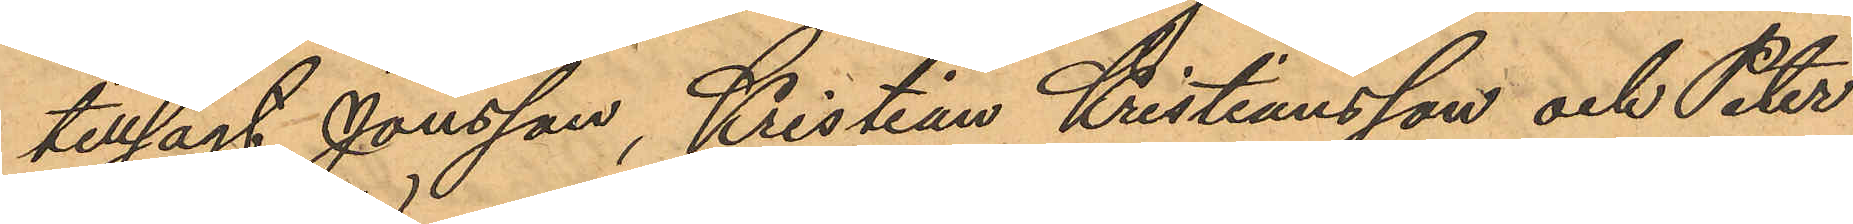tillsagt Jonsson, Kristian Kristiansson och Peter
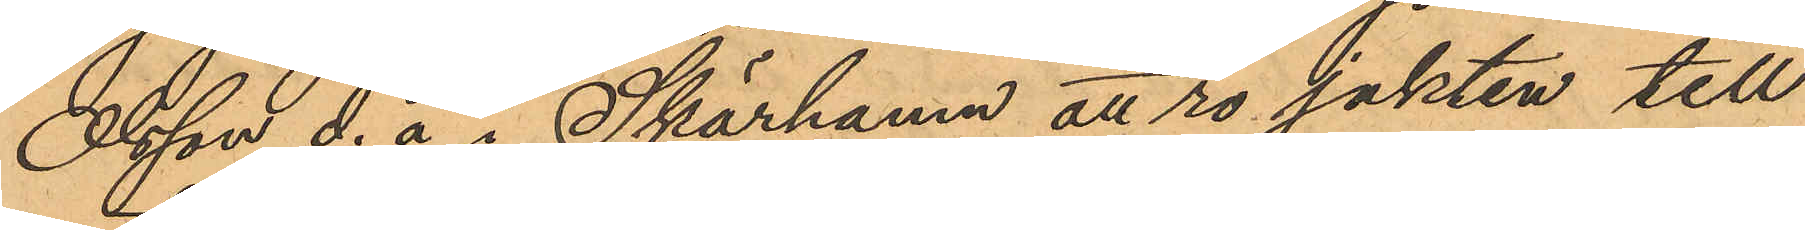Olsson d.ä i Skärhamn att ro jakten till
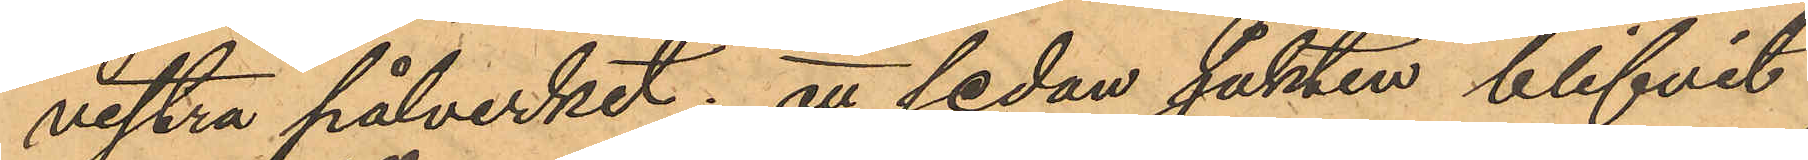vestra pålverket; att sedan jakten blifvit
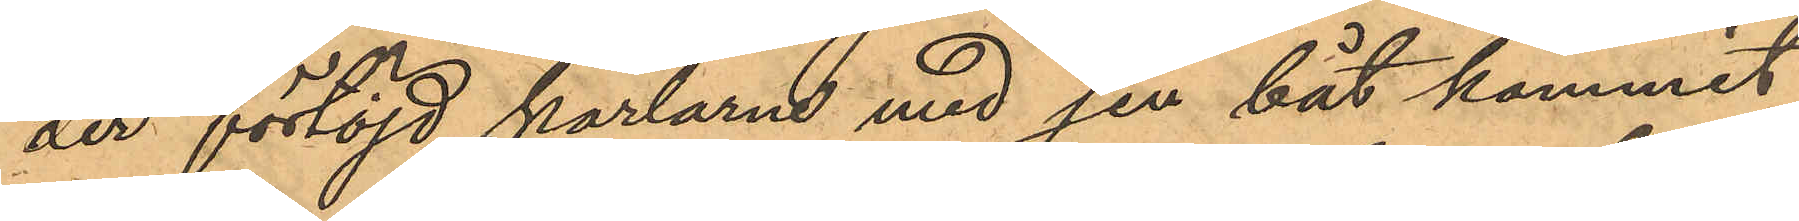der förtöjd, karlarne med sin båt kommit
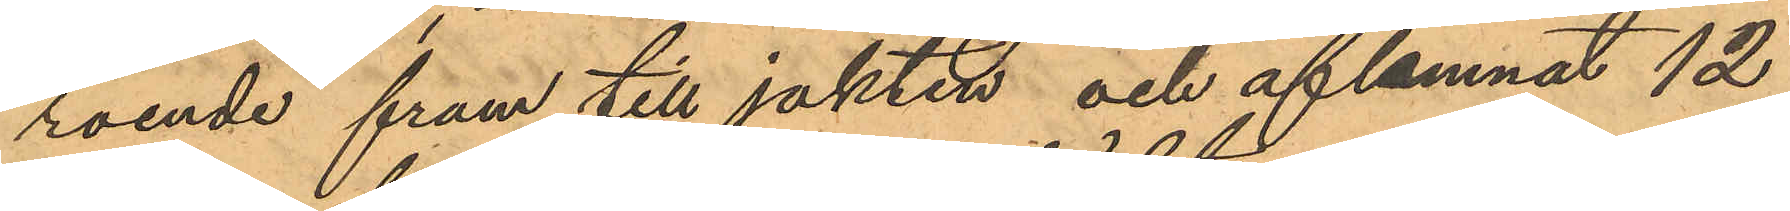roende fram till jakten och aflämnat 12
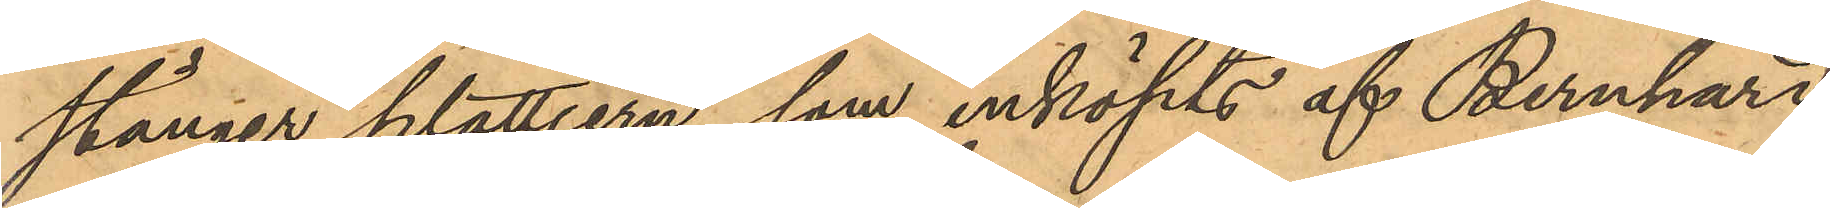stänger plattjern, som inköpts af Bernhard
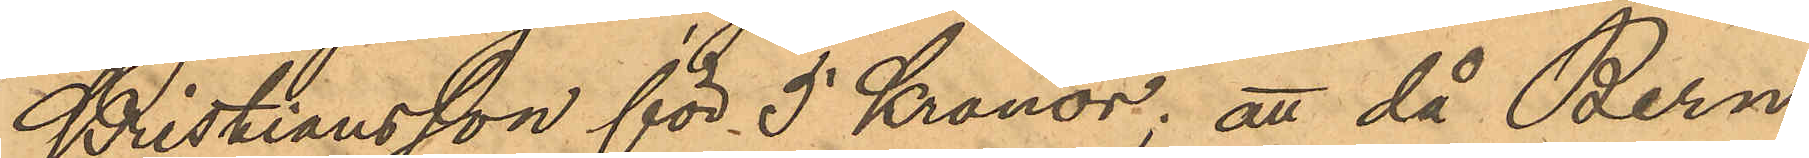Kristiansson för 5 Kronor; att då Bern¬
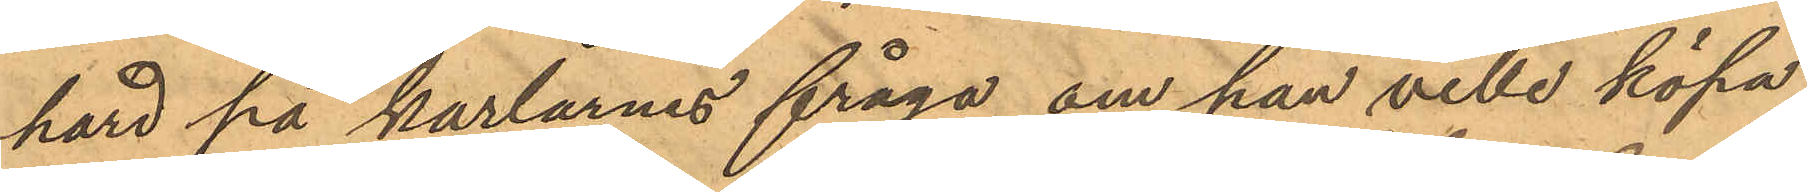hard på karlarnes fråga om han ville köpa
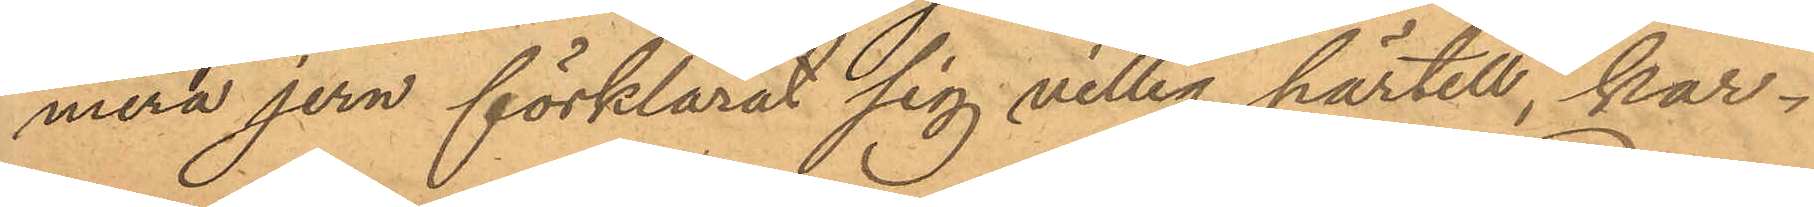mera jern förklarat sig villig härtill, kar¬
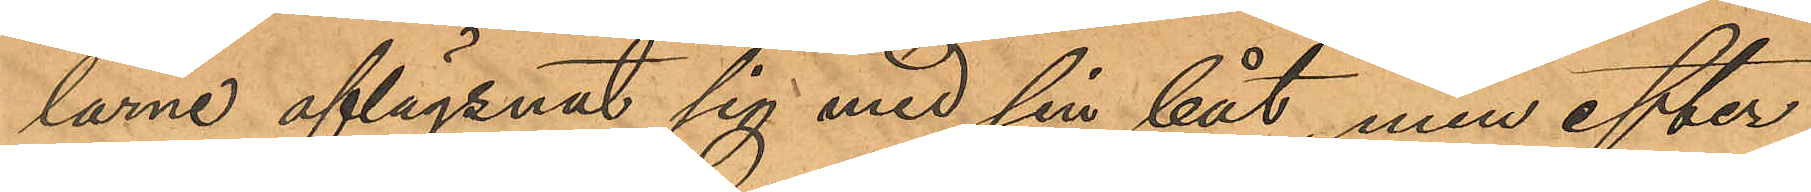larne aflägsnat sig med sin båt, men efter
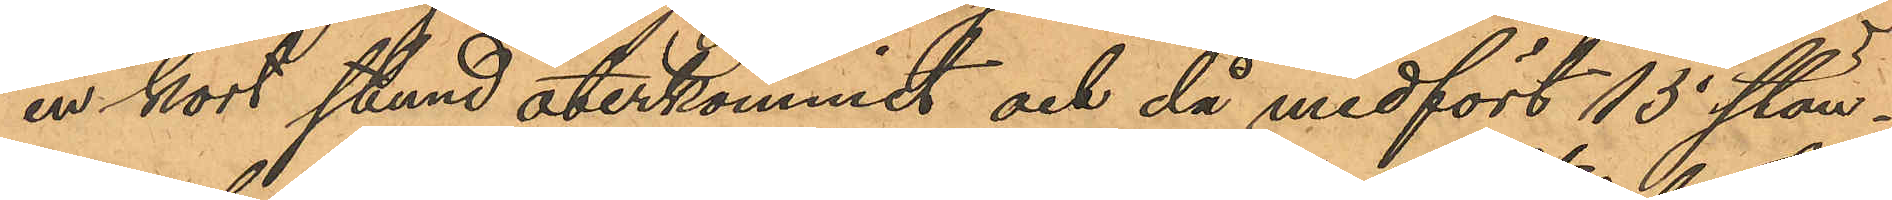en kort stund återkommit och då medfört 15 stän¬
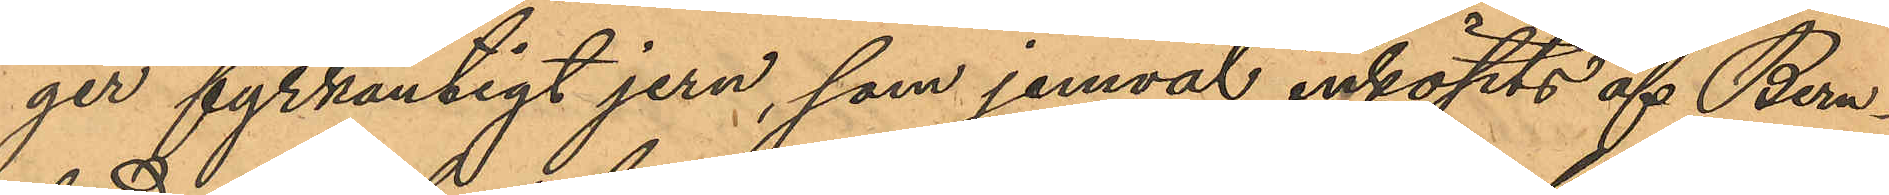ger fyrkantigt jern, som jemväl inköpts af Bern¬
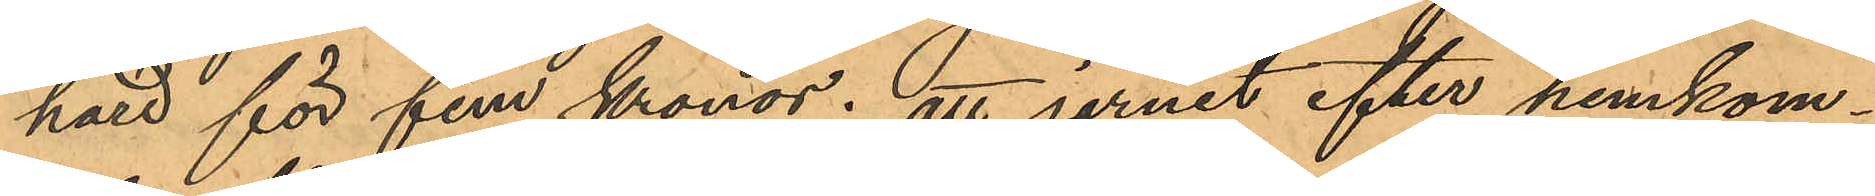hard för fem kronor; att jernet efter hemkom¬
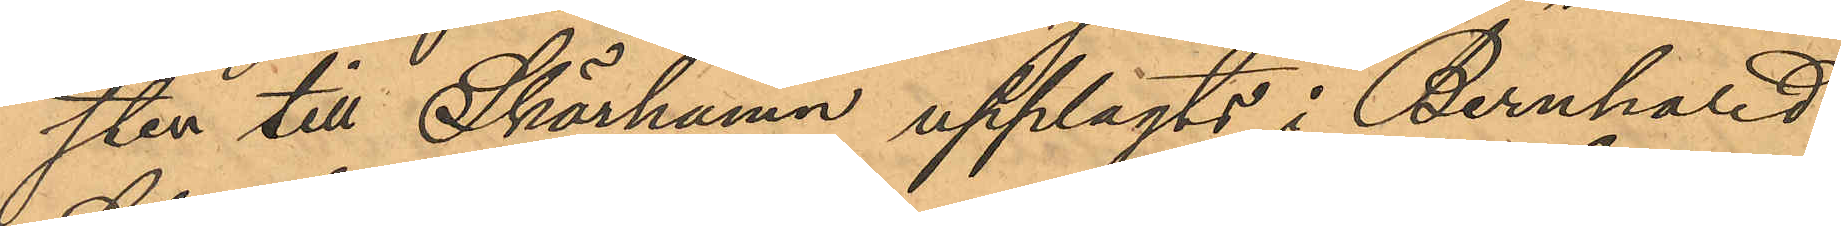sten till Skärhamn upplagts i Bernhard
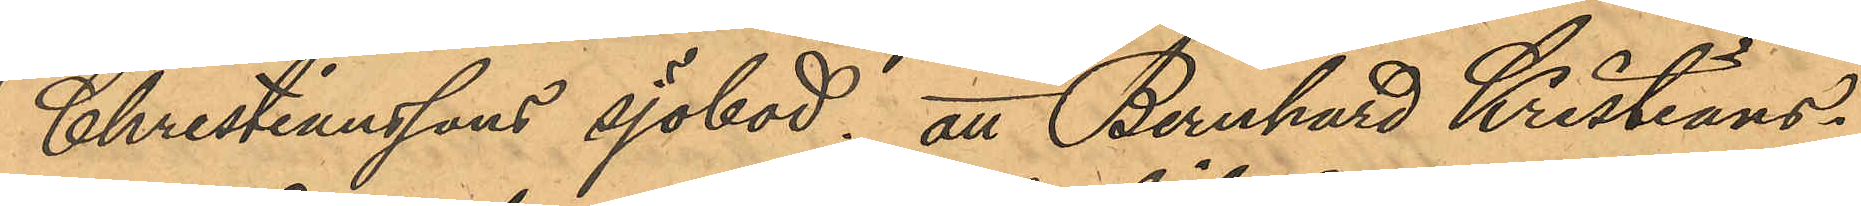Christianssons sjöbod; att Bernhard Kristians¬
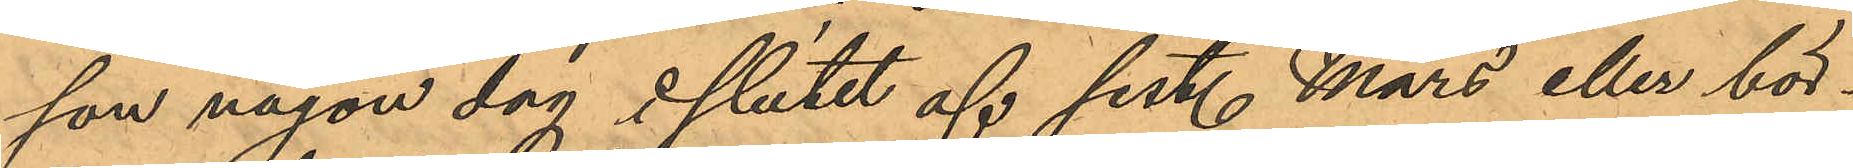son någon dag i slutet af sist. Mars eller bör¬
